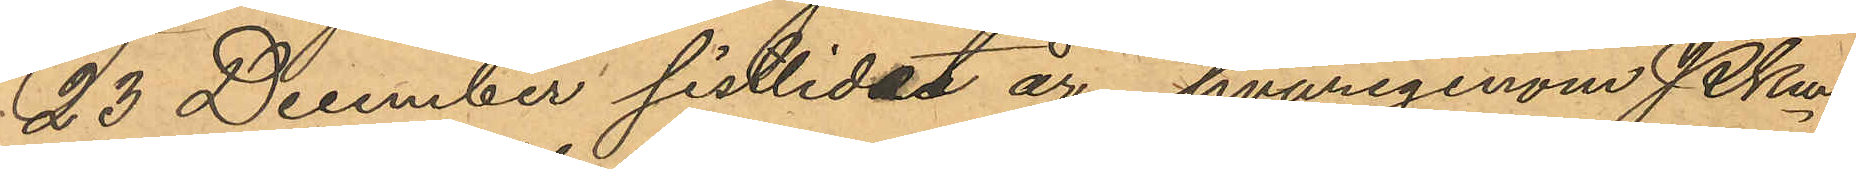23 December sistlidne år, hvarigenom PKm
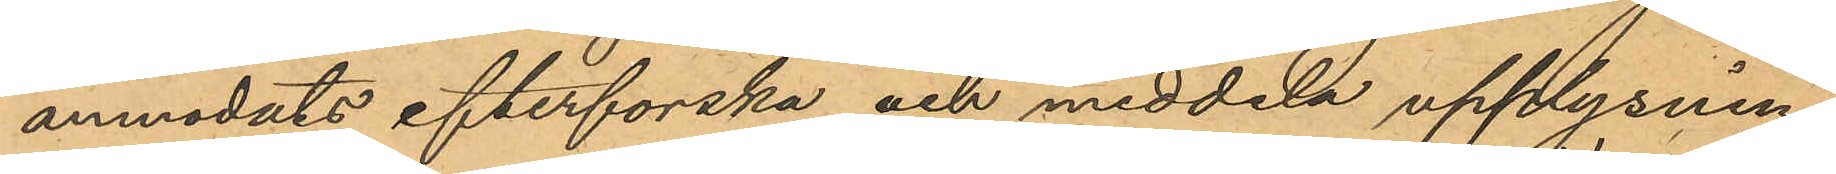anmodats efterforska och meddela upplysning
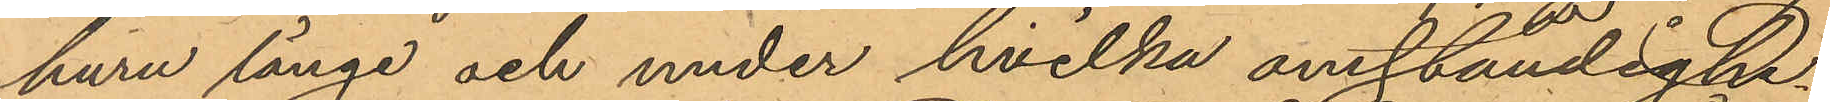huru länge och under hvilka omständighe¬
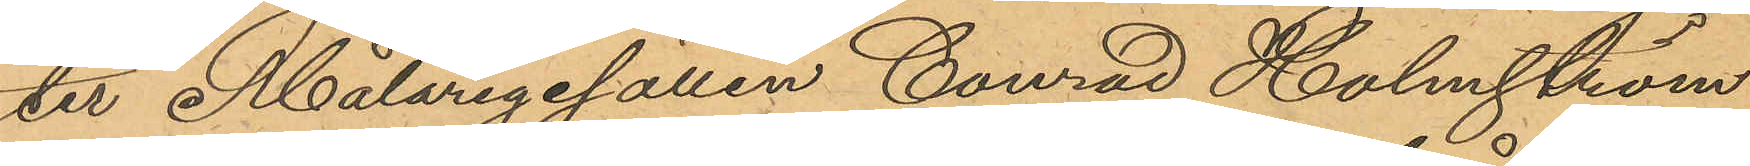ter Målaregesällen Conrad Holmström
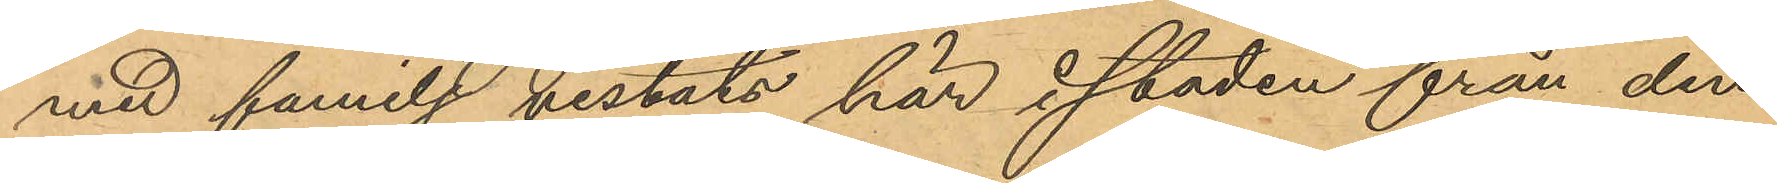med familj vistats här i staden från den
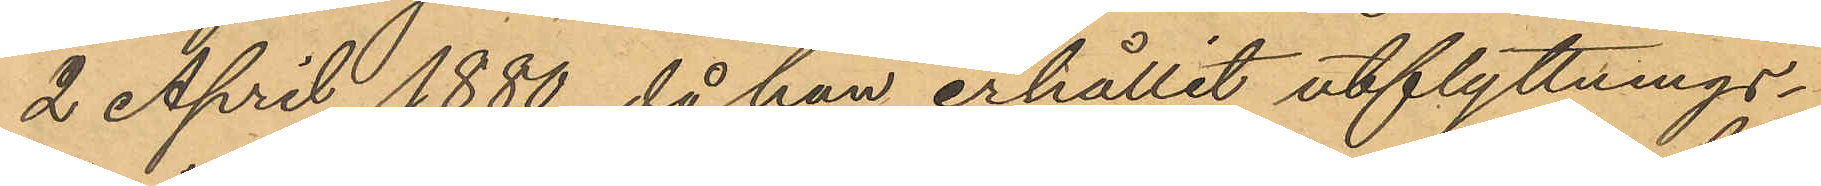2 April 1880, då han erhållit utflyttnings¬
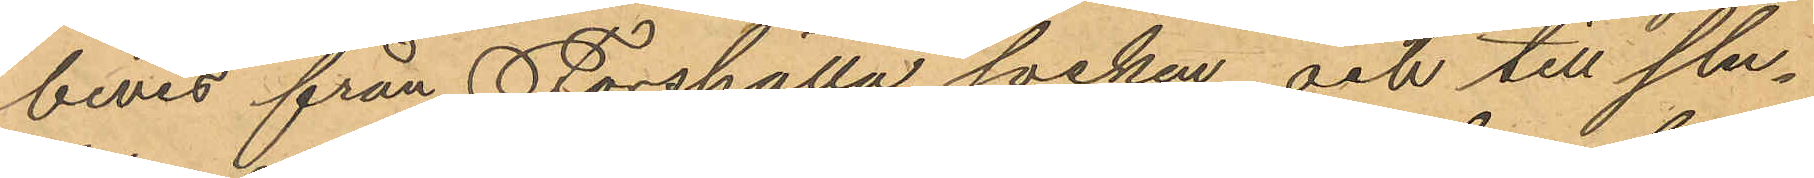bevis från Forshålla socken och till slu¬
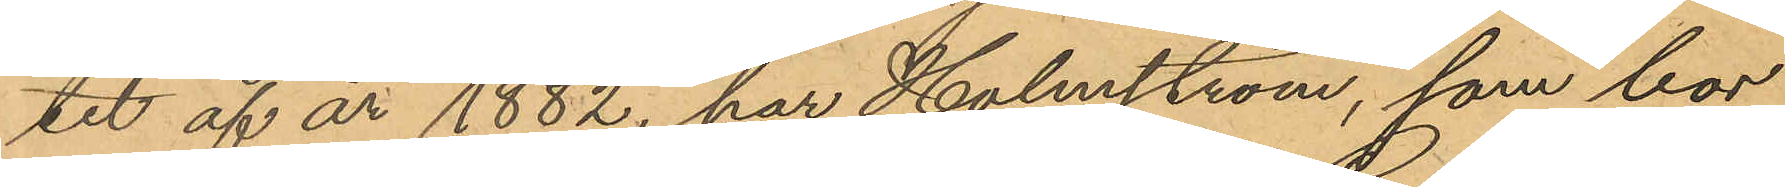tet af år 1882, har Holmström, som bor
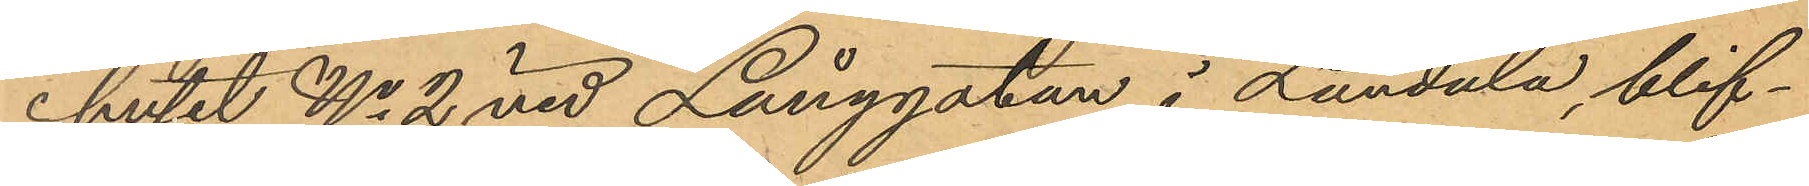i huset No 2 vid Långgatan i Landala, blif¬
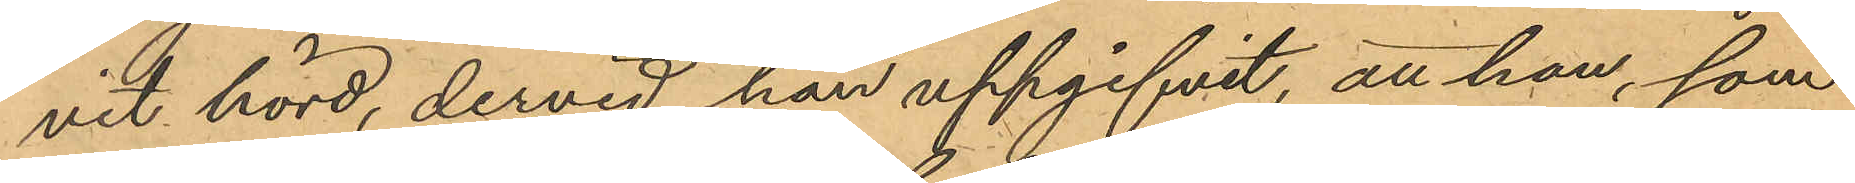vit hörd, dervid han uppgifvit, att han, som
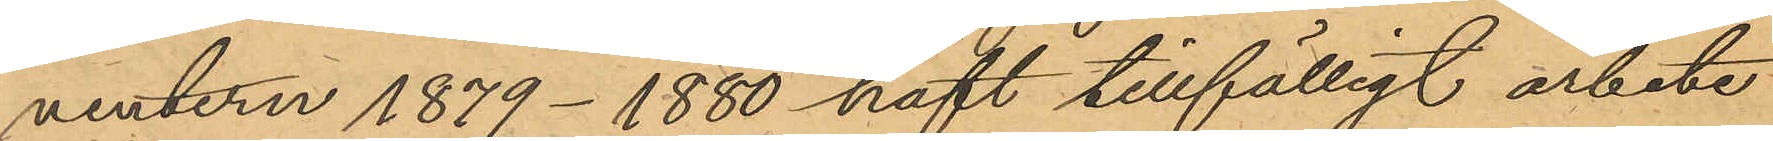vintern 1879-1880 haft tillfälligt arbete
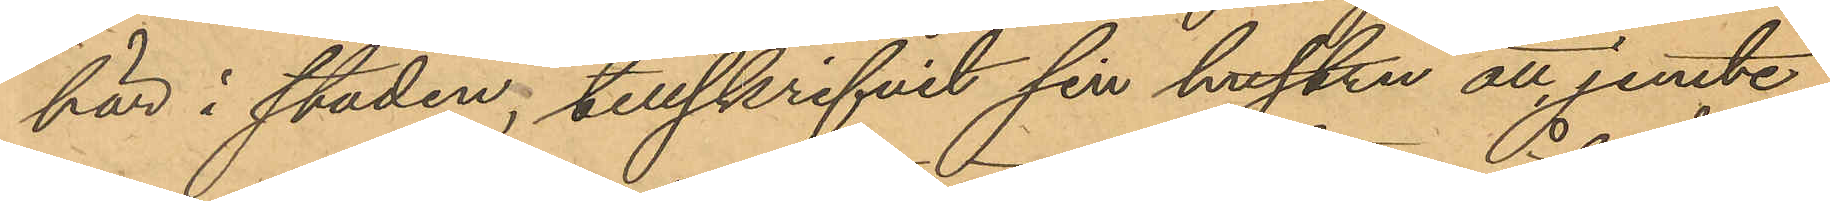här i staden, tillskrifvit sin hustru att jemte
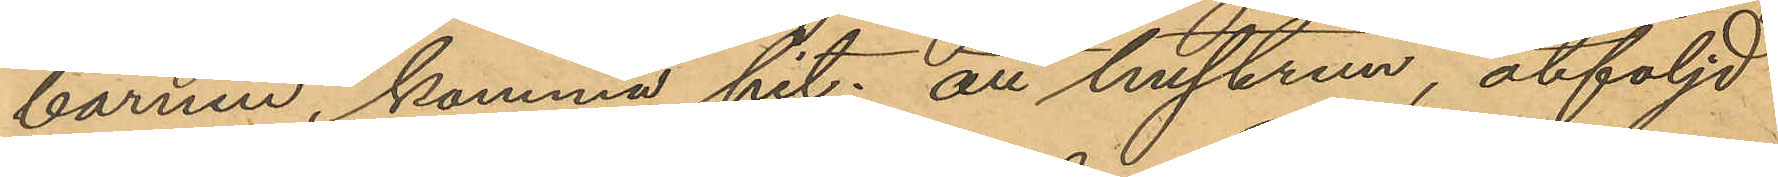barnen komma hit; att hustrun, åtföljd
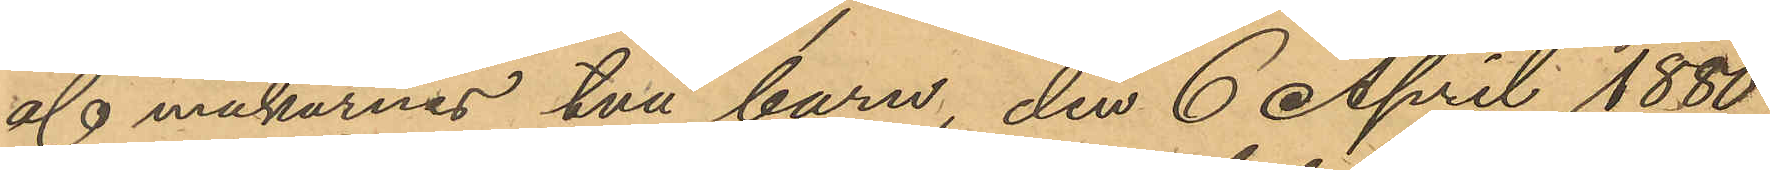af makarnas två barn, den 6 April 1880
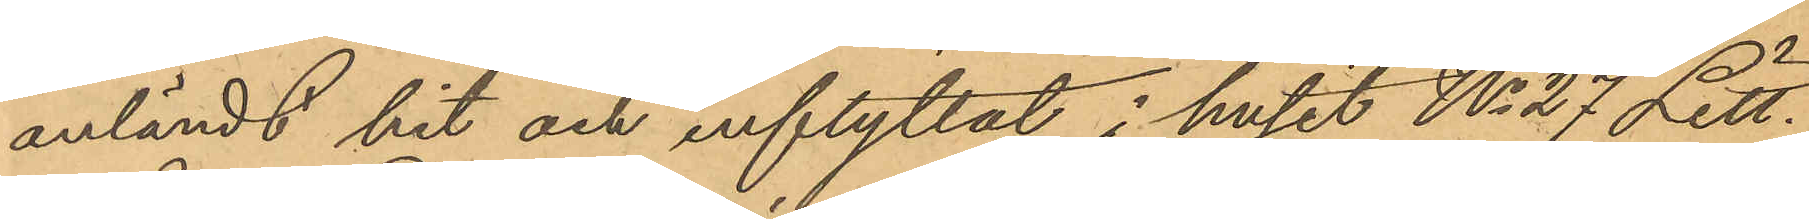anländt hit och inflyttat i huset No 27 Litt.
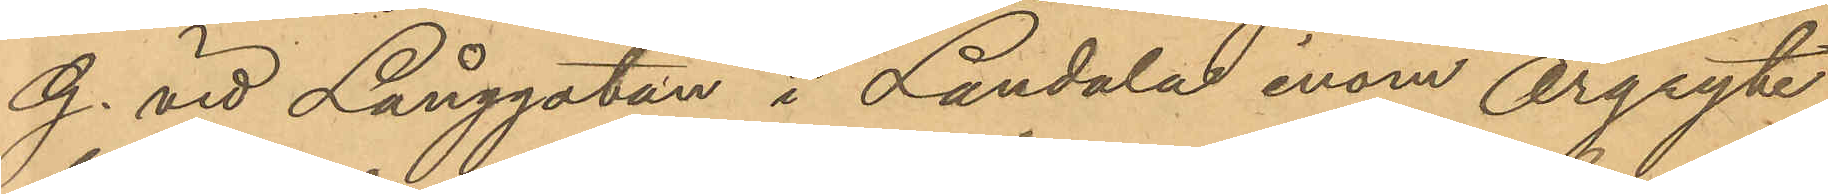G. vid Långgatan i Landala inom Örgryte
